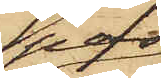par
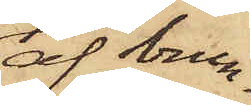af brun¬
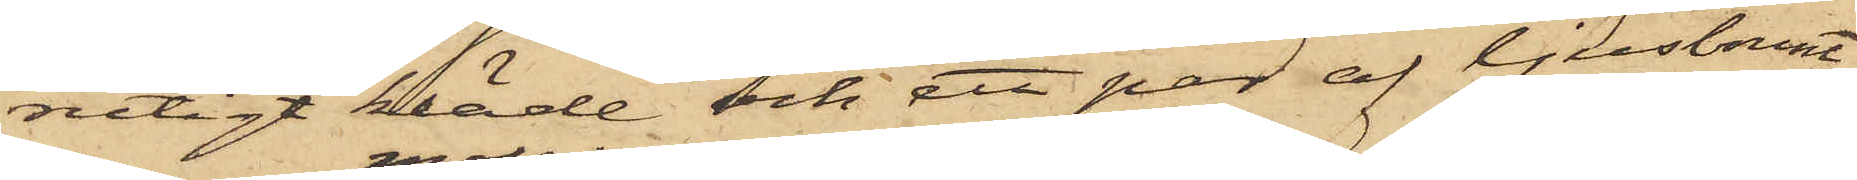rutigt kläde och ett par af ljusbrunt
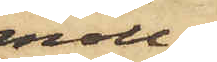moll¬
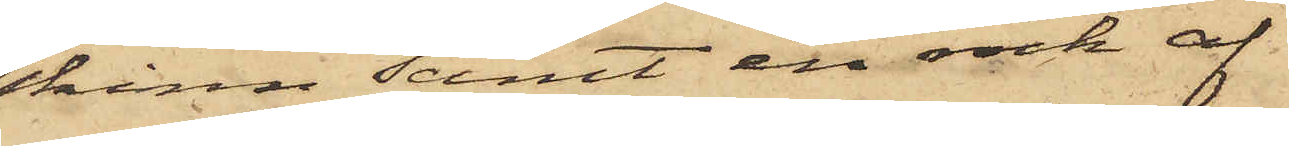skinn samt en rock af
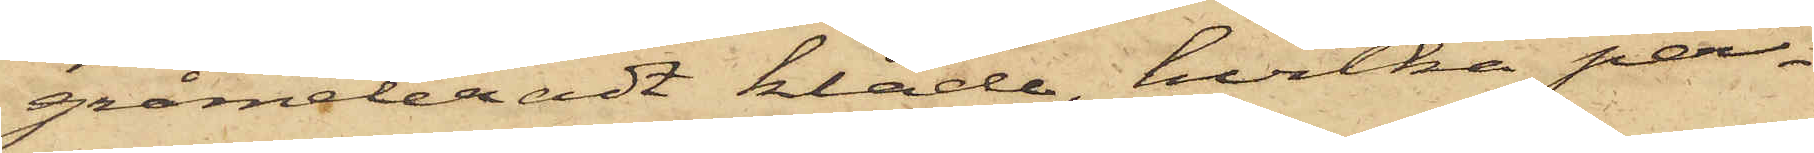gråmeleradt kläde, hvilka per¬
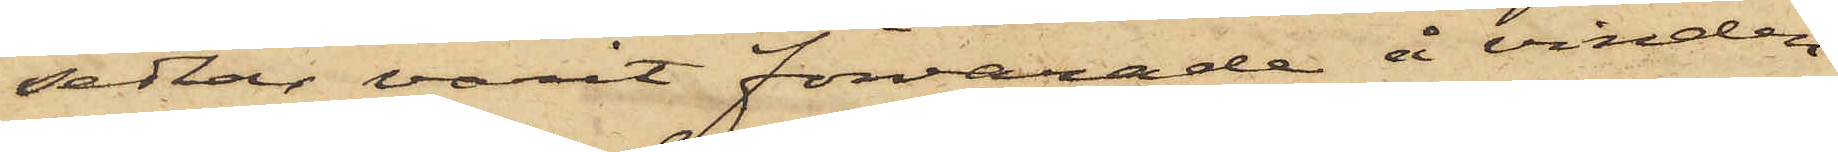sedlar varit förvarade å vinden
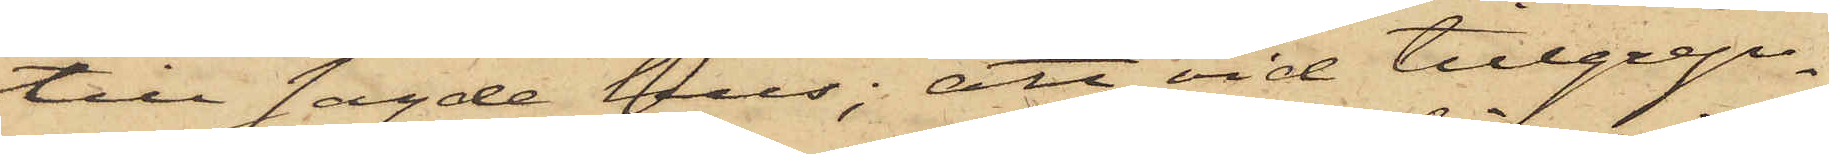till sagde hus; att vid tillgrep¬
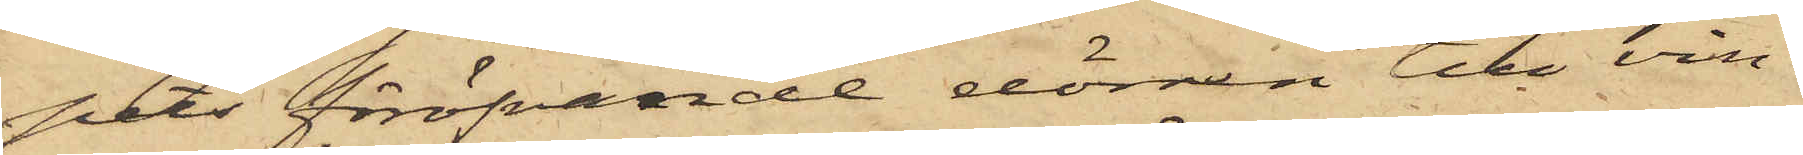pets föröfvande dörren till vin¬
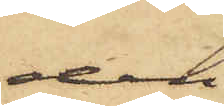den
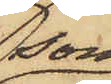som
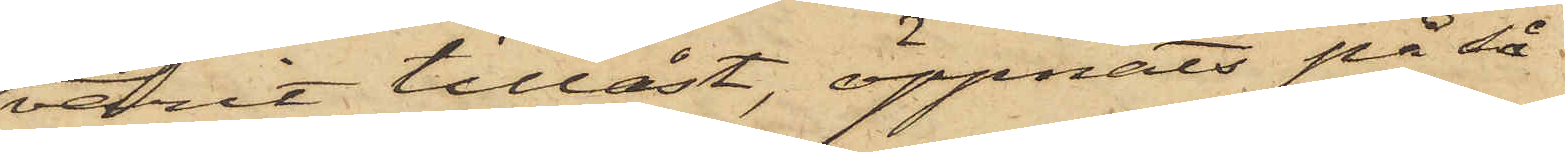varit tillåst, öppnats på så
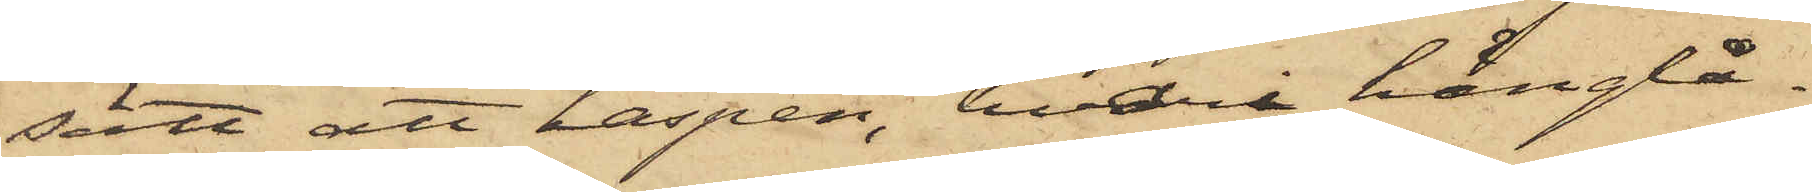sätt att haspen, hvari hänglå¬
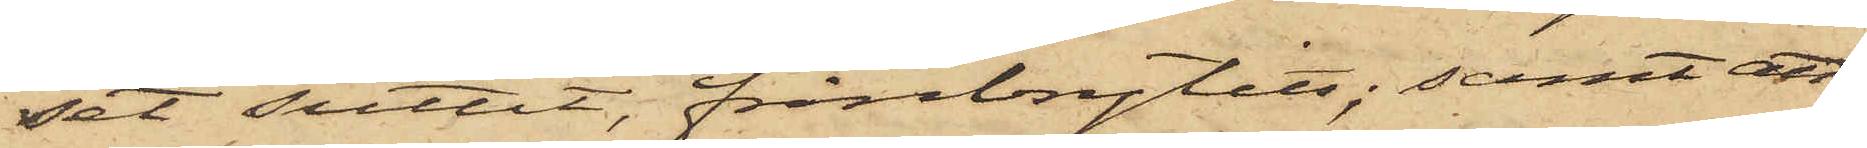set suttit, frånbrytits; samt att
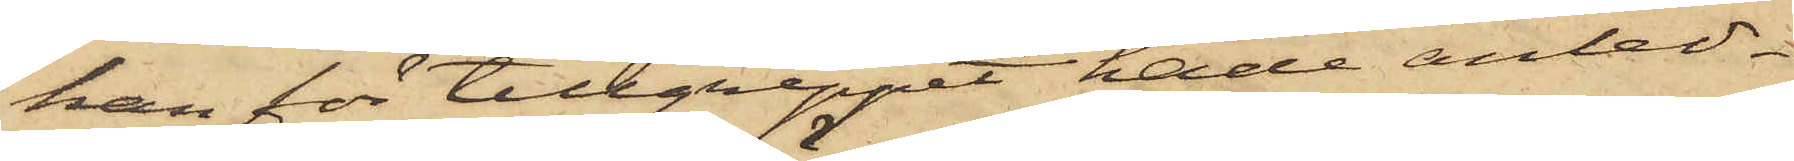han för tillgreppet hade anled¬
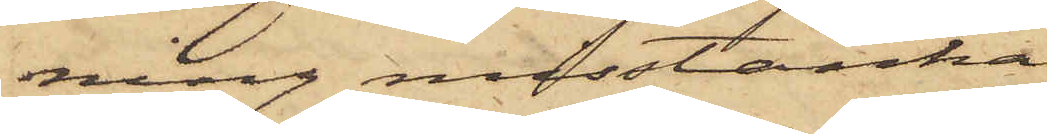ning misstänka
